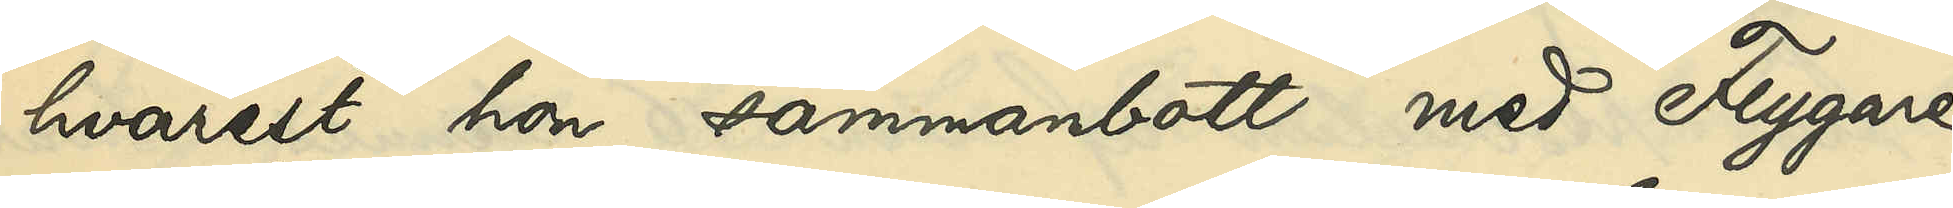hvarest hon sammanbott med Flygare,
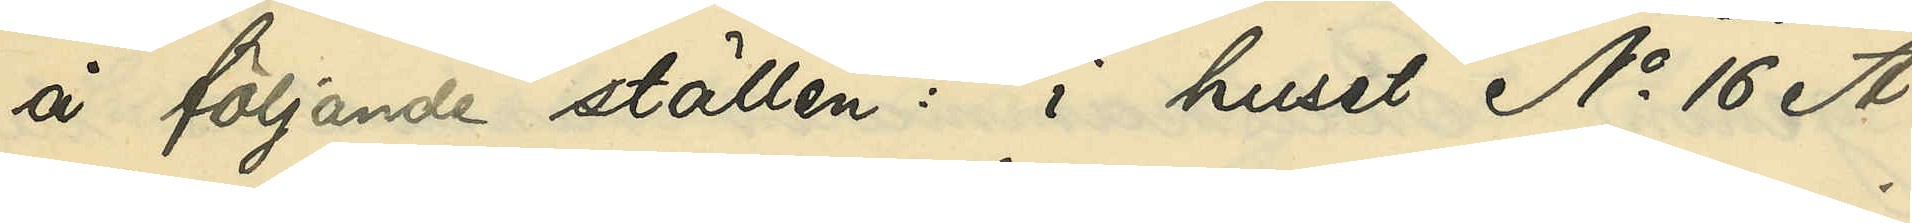å följande ställen: i huset No 16 A
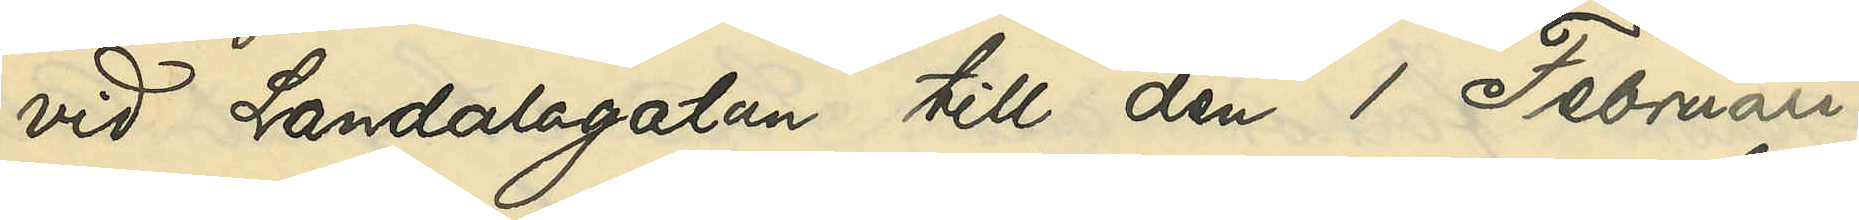vid Landalagtan till den 1 Februari
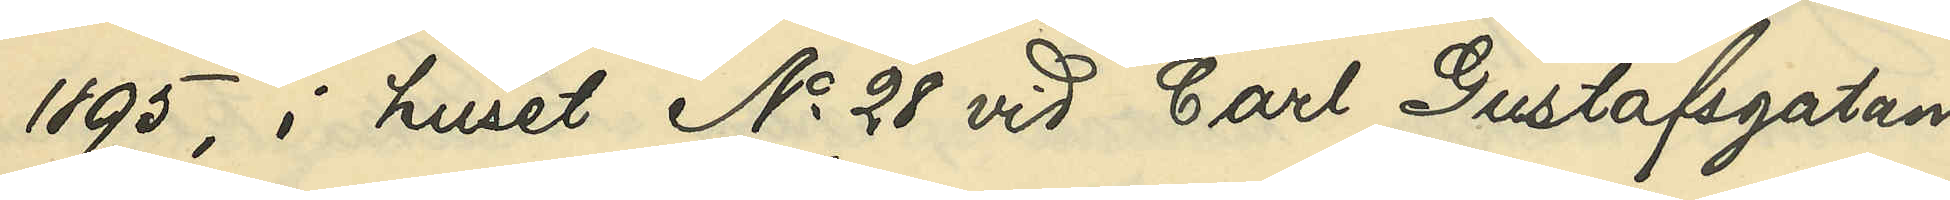1985, i huset No 28 vid Carl Gustafsgatan
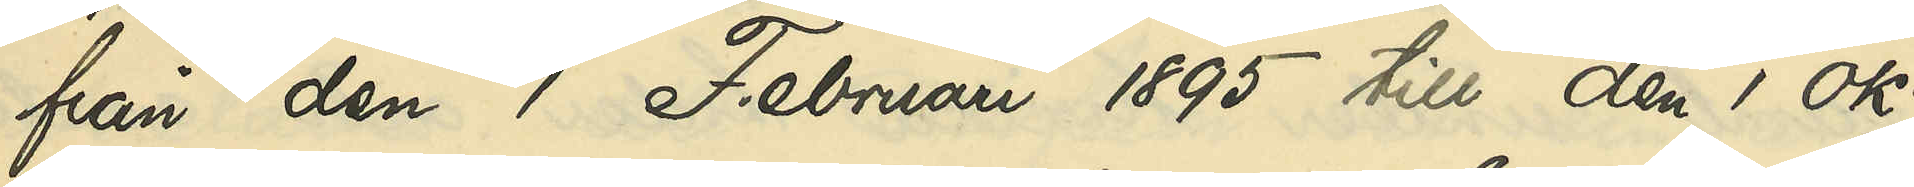från den 1 Februari 1895 till den 1 Ok¬
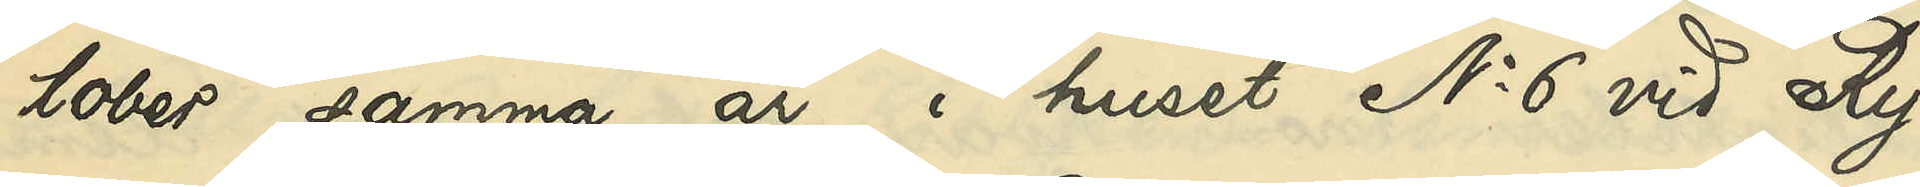tober samma år, i huset No 6 vid Ry¬
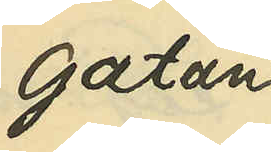gatan
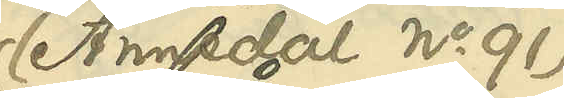(Annedal No 91)
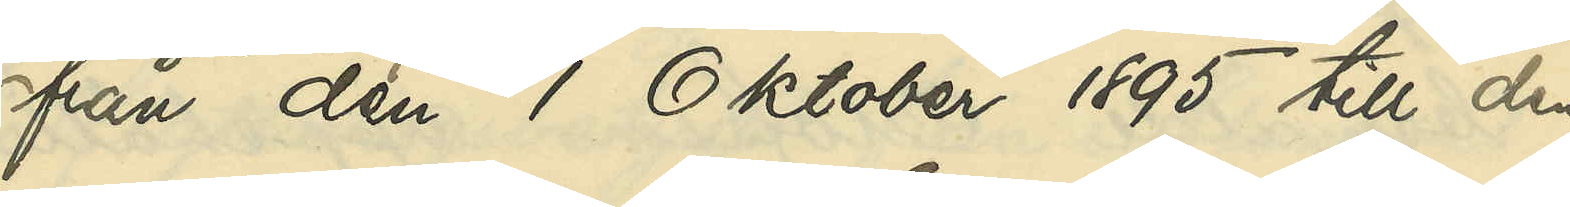från den 1 Oktober 1895 till den
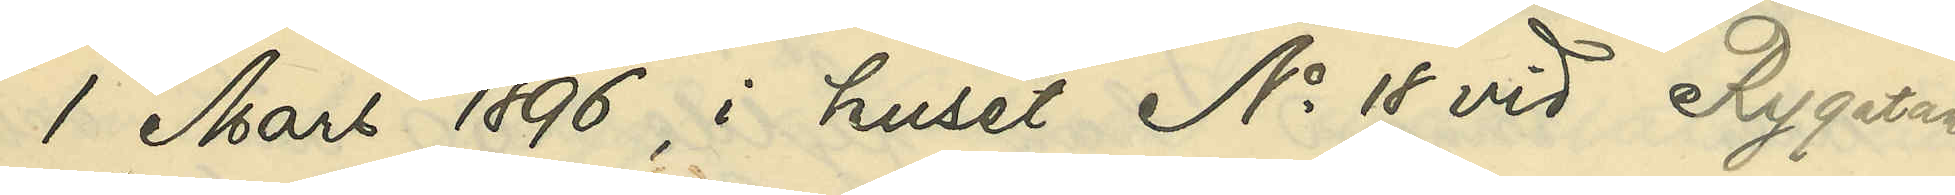1 Mars 1896, i huset No 18 vid Rygatan
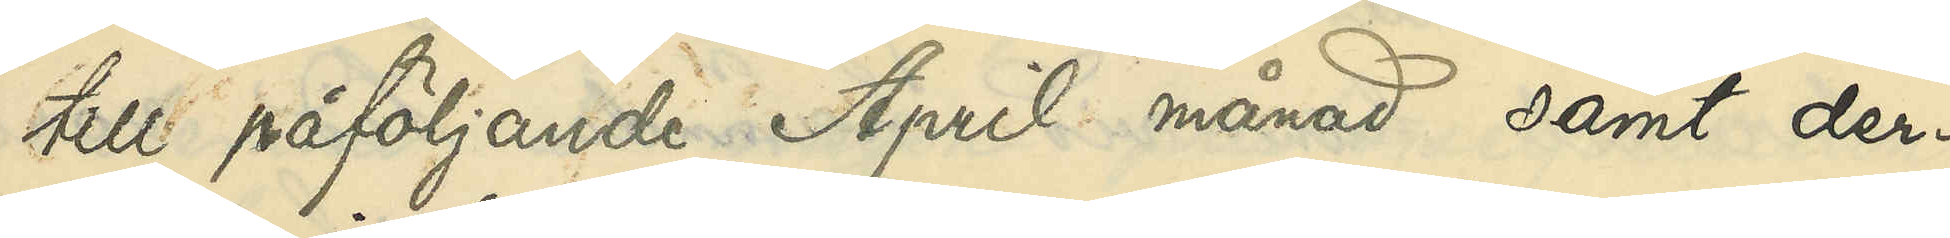till påföljande April månad samt der¬
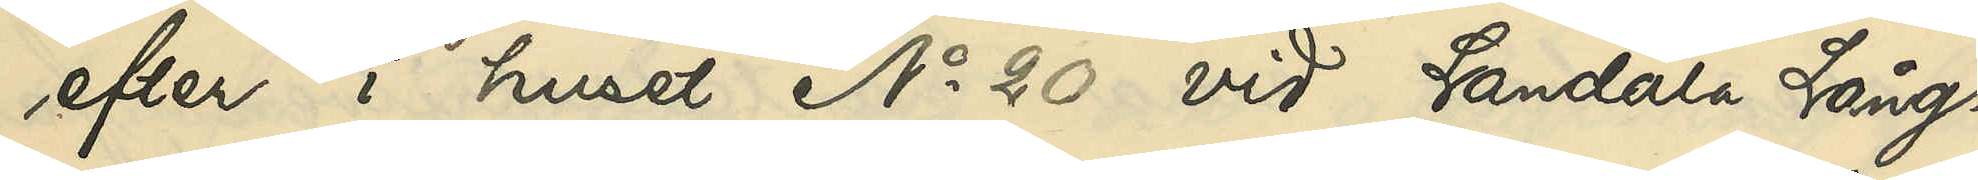efter i huset No 20 vid Landala Lång¬
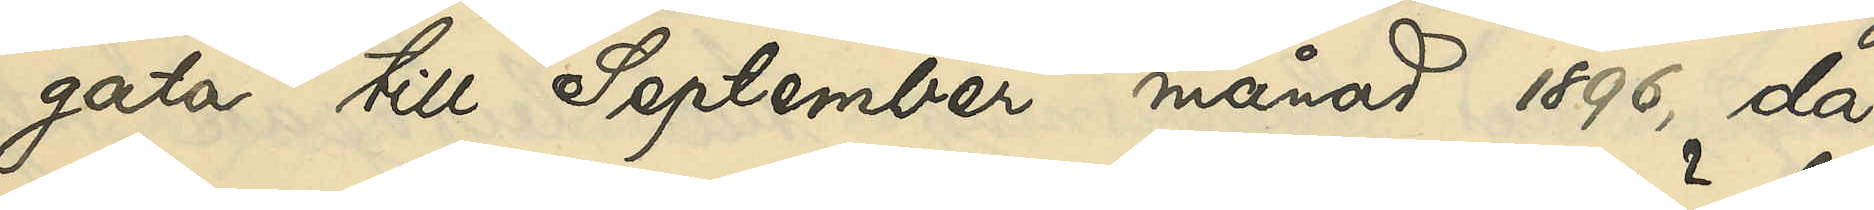gata till September månad 1896, då 
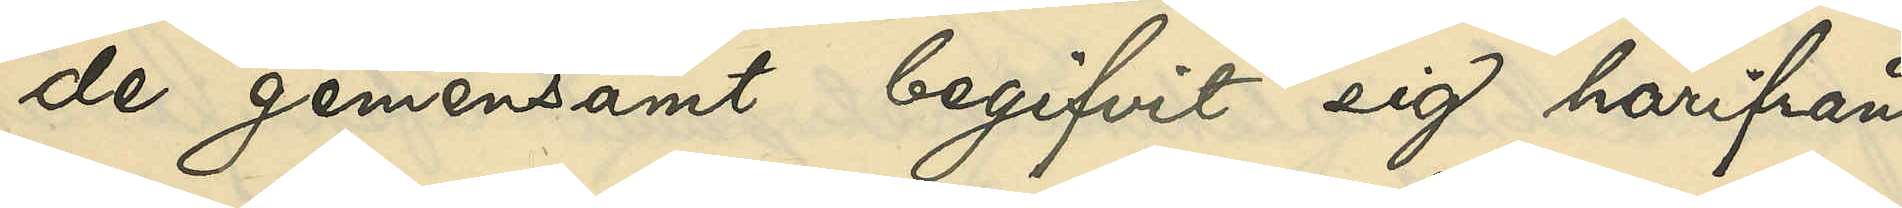de gemensamt begifvit sig härifrån,
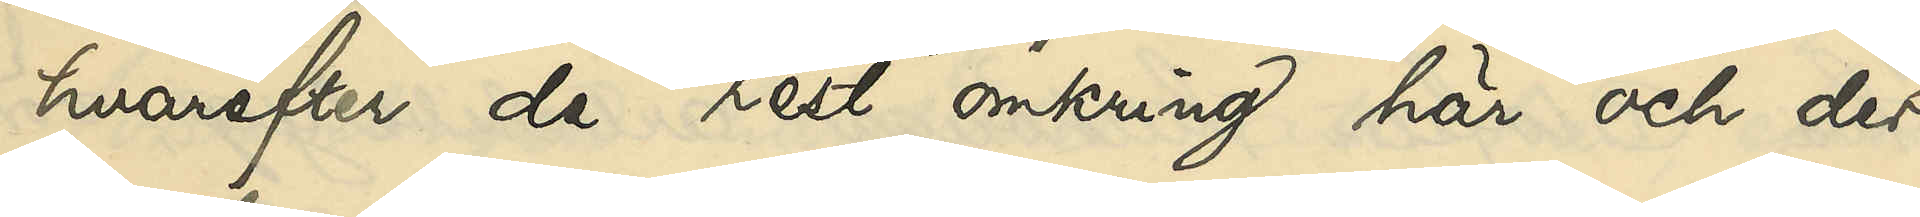hvarefter de rest omkring här och där
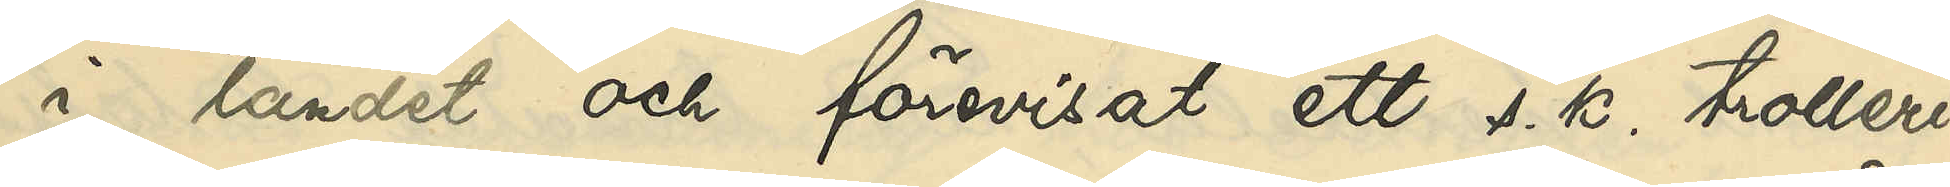i landet och förevisat ett s. k. trolleri¬
